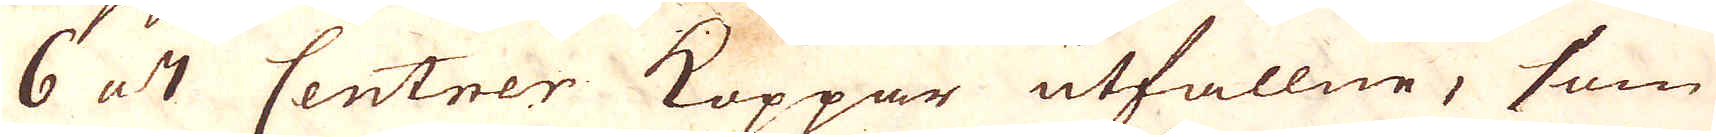6 a 7 Centrer Koppar utfallne, som
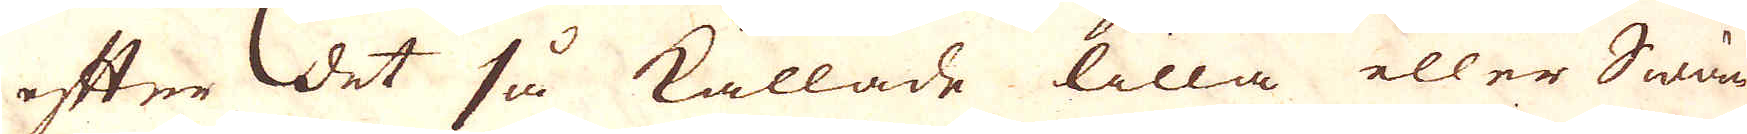efter det så kallade lilla eller Swän-
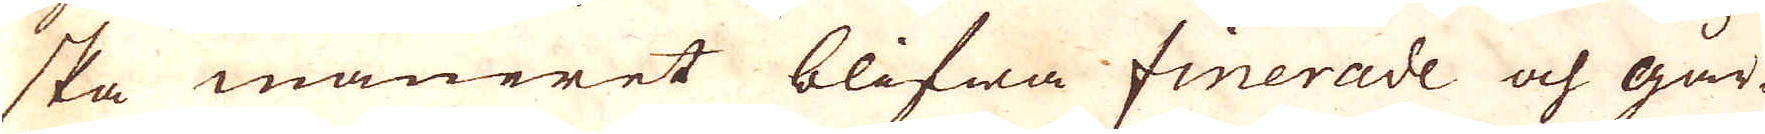ska maneret blifwa finerade och går-
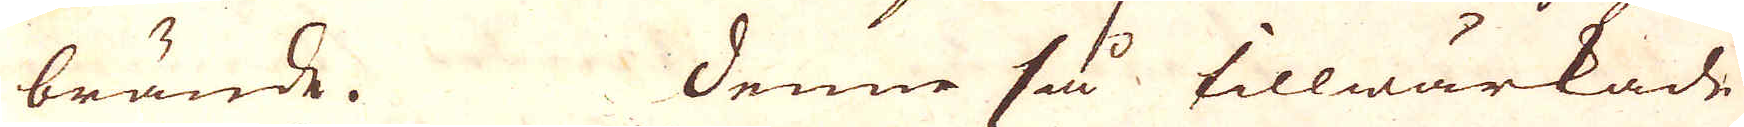brände. Denne så tillwärkade
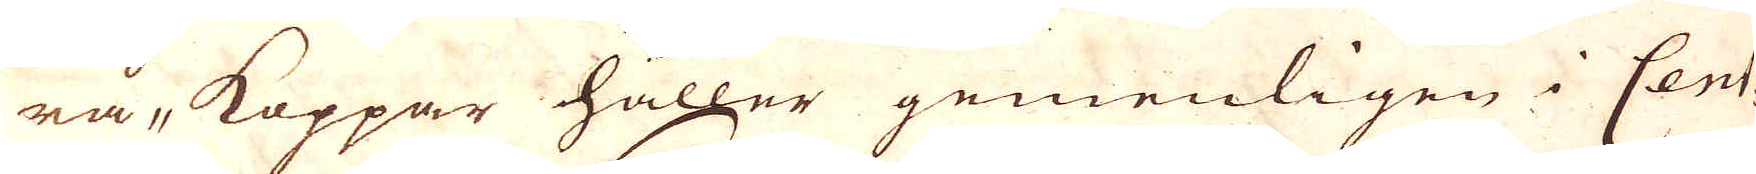rå-koppar håller gemenligen i Cent-
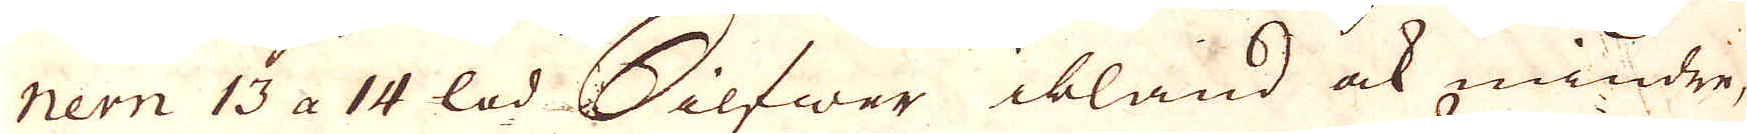nern 13 a 14 lod Silfwer ibland ock mindre,
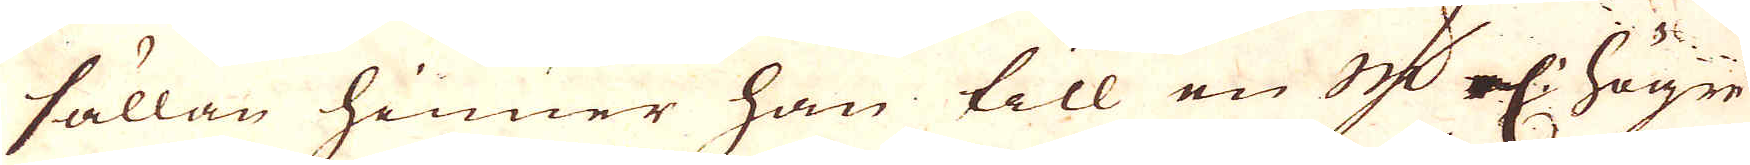sällan hinner han till en 1 qv:n el: högre
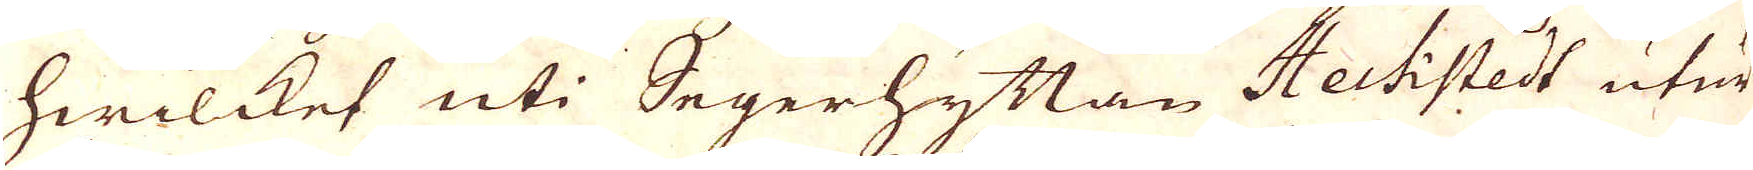hwilcket uti Segerhyttan Hechistedt utur
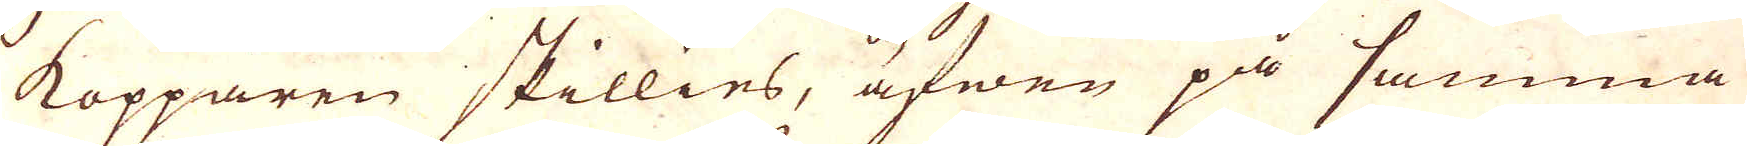kopparen skillies, äfwen på samma
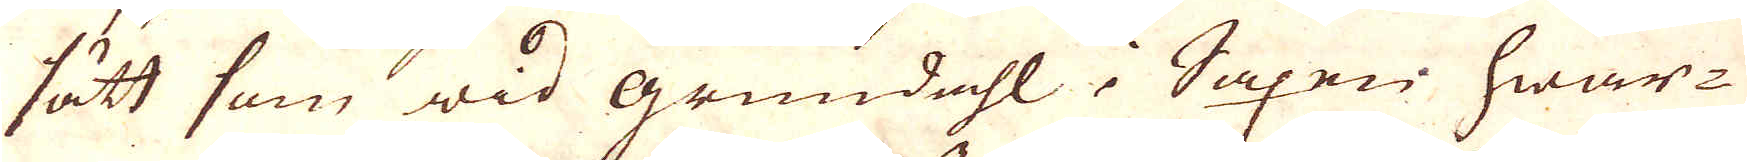sätt som wid Grundahl i Saxen hwar-
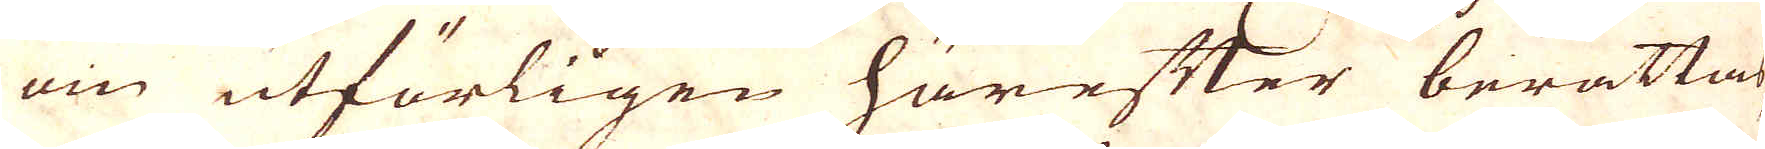om utförligen härefter berättas,
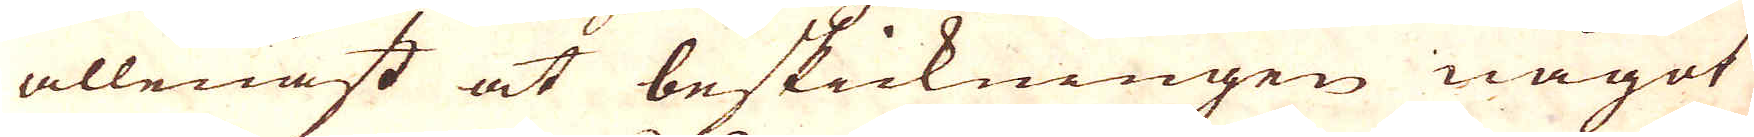allenast at beskickningen något
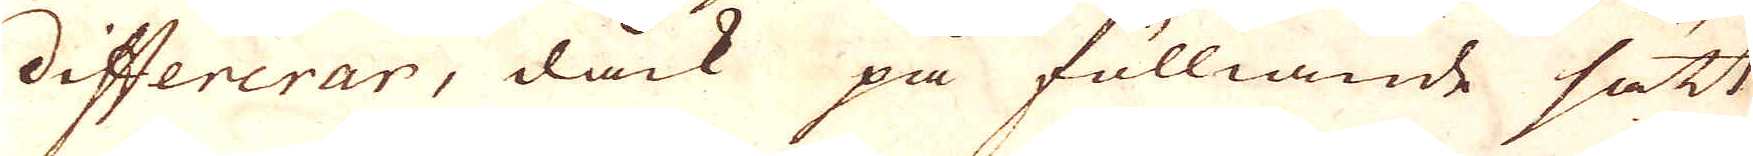differerar, dåck på fölliande sätt
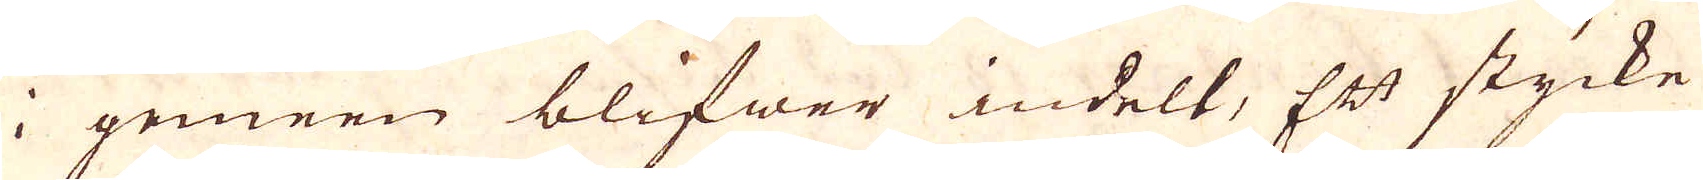i gemeen blifwer indelt, Ett stycke
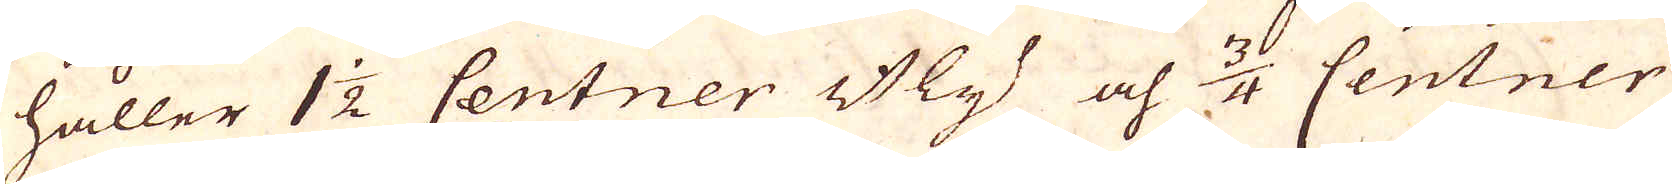håller 1 1/2 Centner Bly och 1/4 Centner
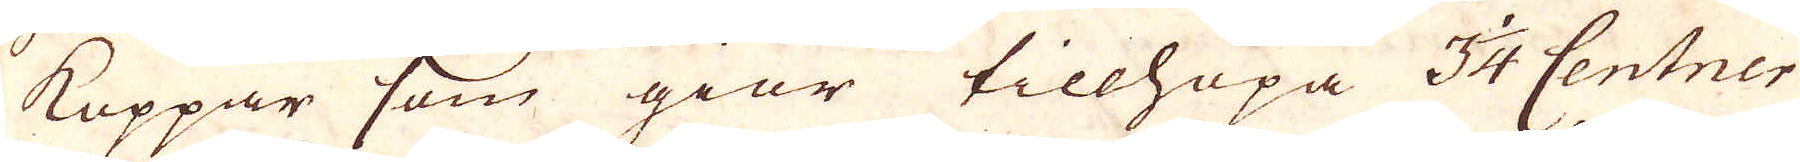Koppar som giör tillhopa 3 1/4 Centner
